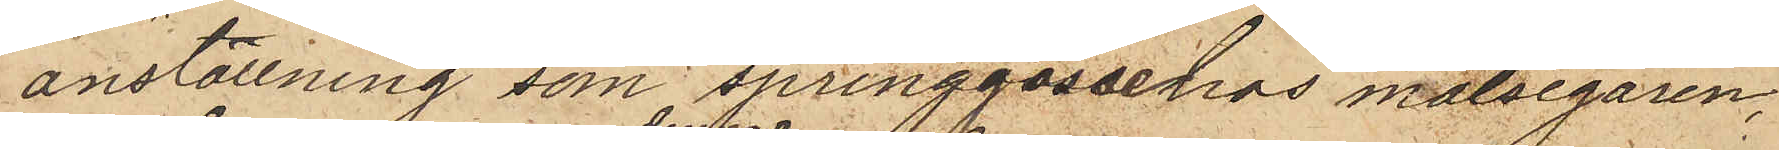anställning som springgosse hos målsegaren,
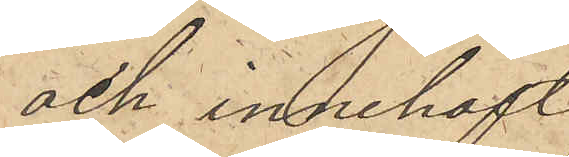och innehaft
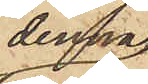denna
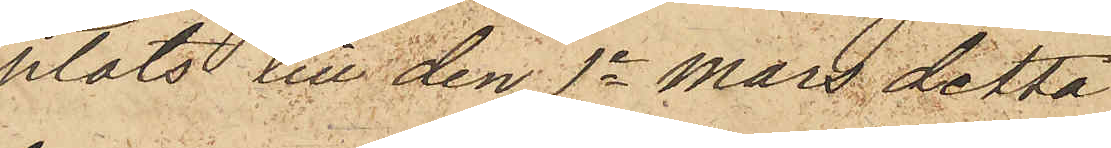plats till den 1e Mars detta
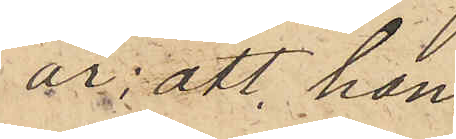år; att han
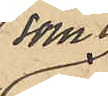som
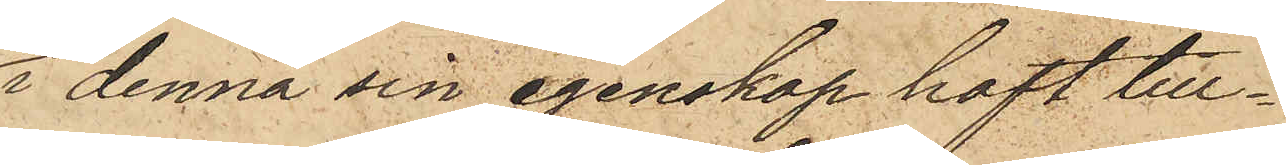i denna sin egenskap haft till¬
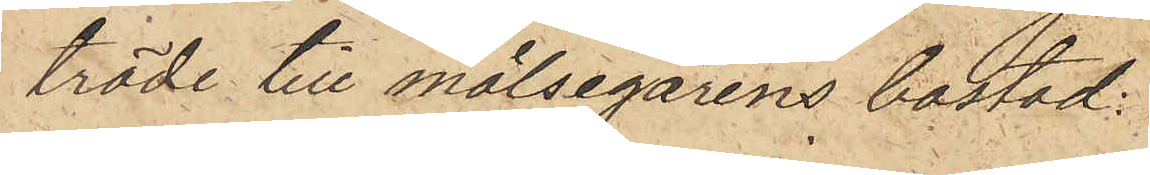träde till målsegarens bostad
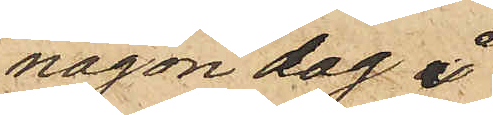någon dag i
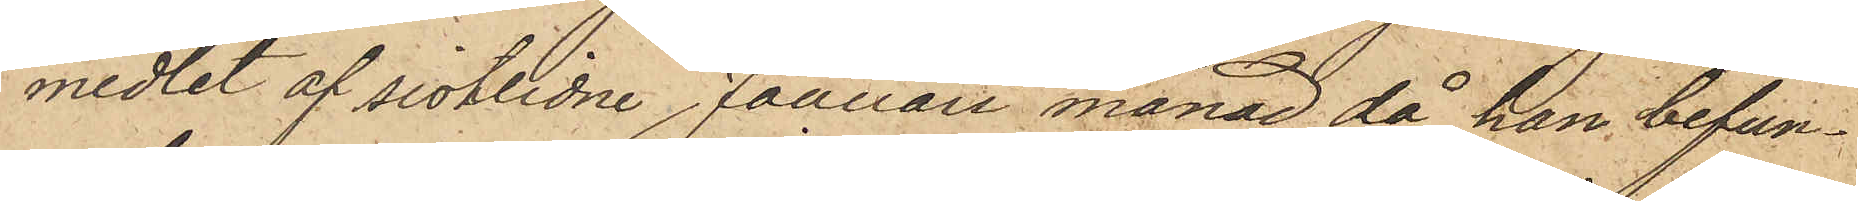medlet af sistlidne Januari månad då han befun¬
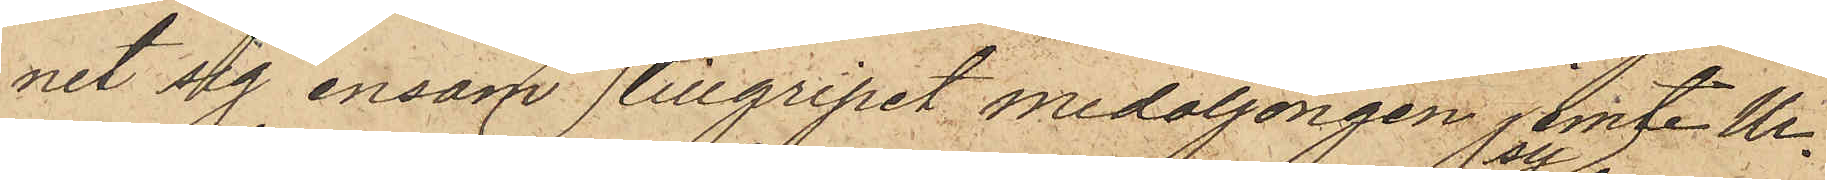nit sig ensam tillgripit medaljongen jemte Ur¬
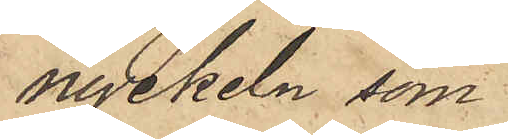nyckeln som
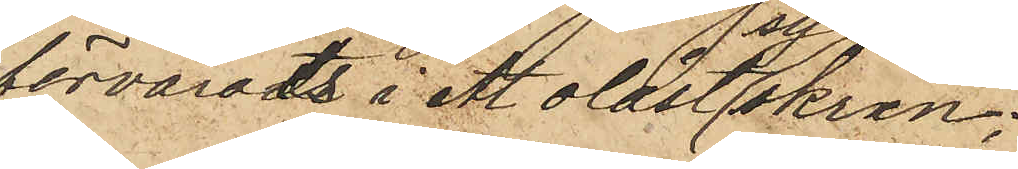förvarats i ett olåst syskrin;
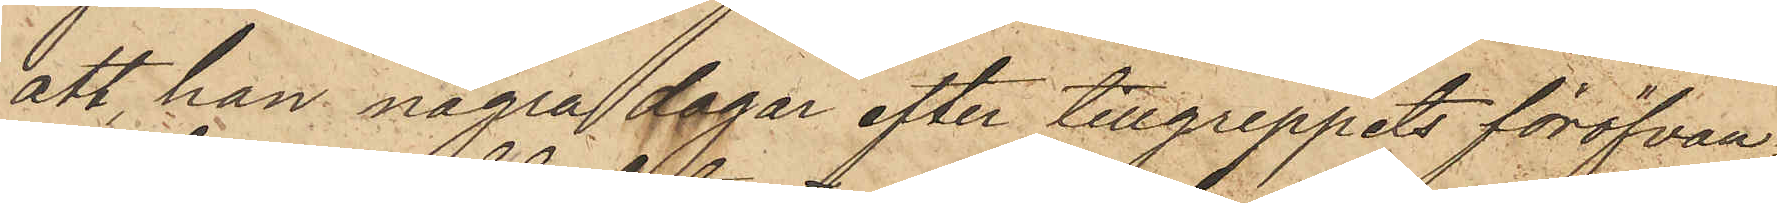att han några dagar efter tillgreppets föröfvan¬
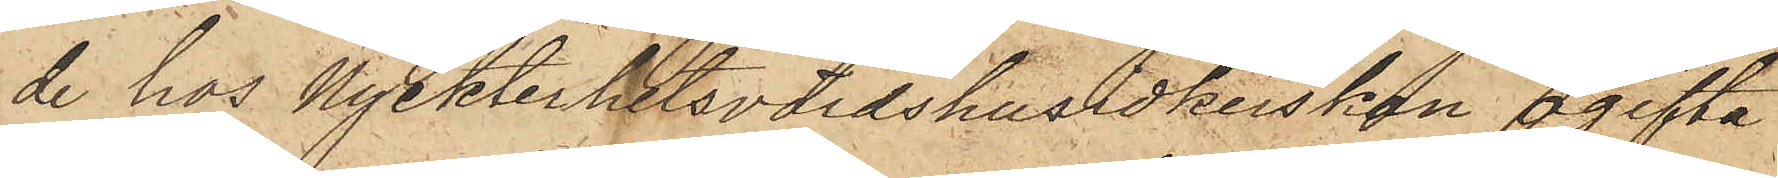de hos Nykterhetsvärdshusidkerskan ogifta
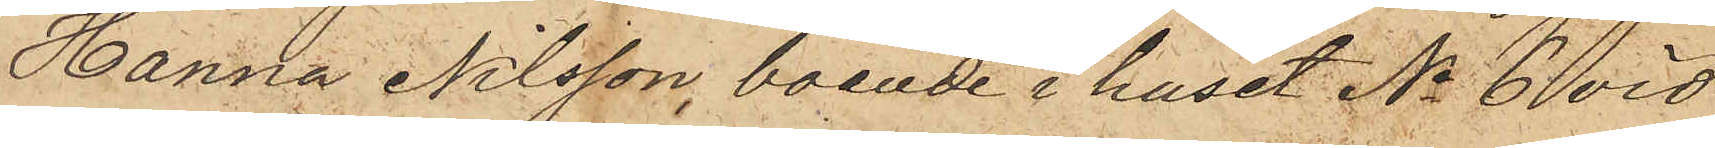Hanna Nilsson, boende i huset No 6 vid
